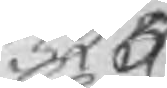325
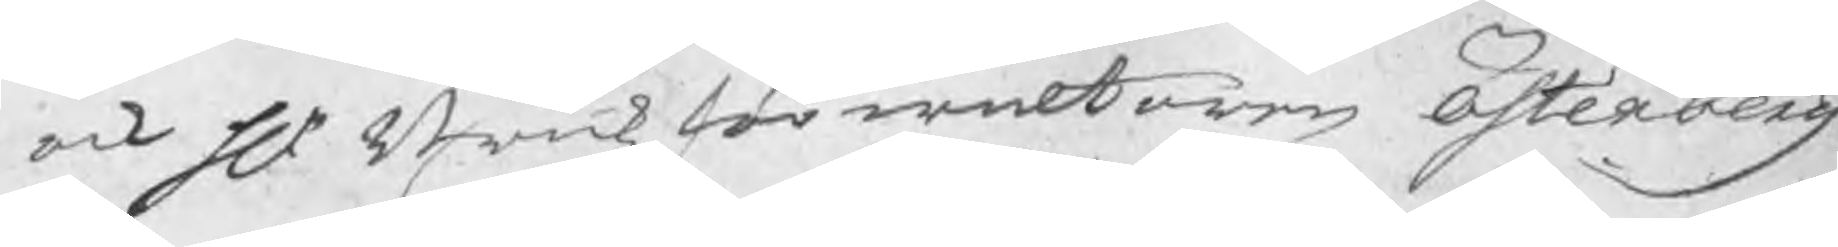ock Hr. Brukzförwaltaren Österberg
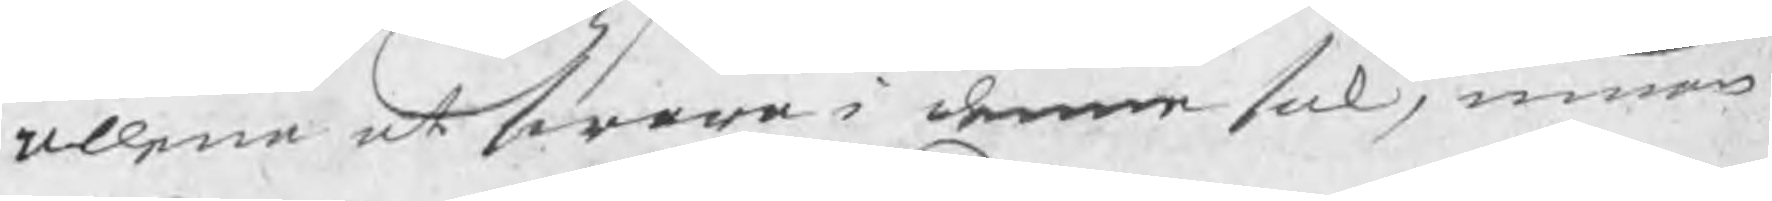allena at swara i denne sak, innan
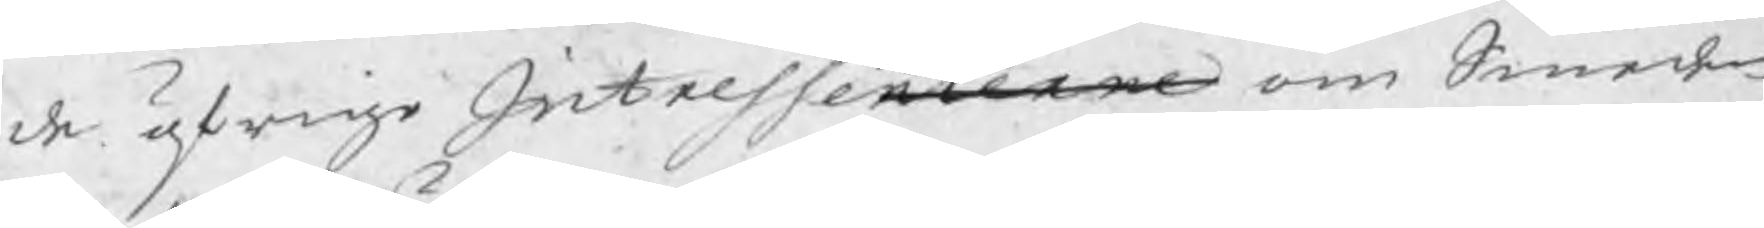de öfrige Intressenterne om Smeden
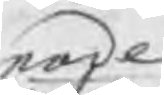tade
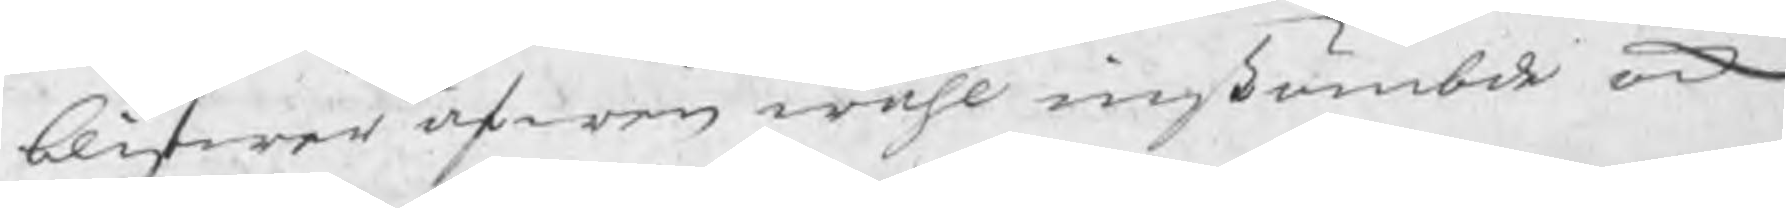blifwer äfwen wähl instämbde ock
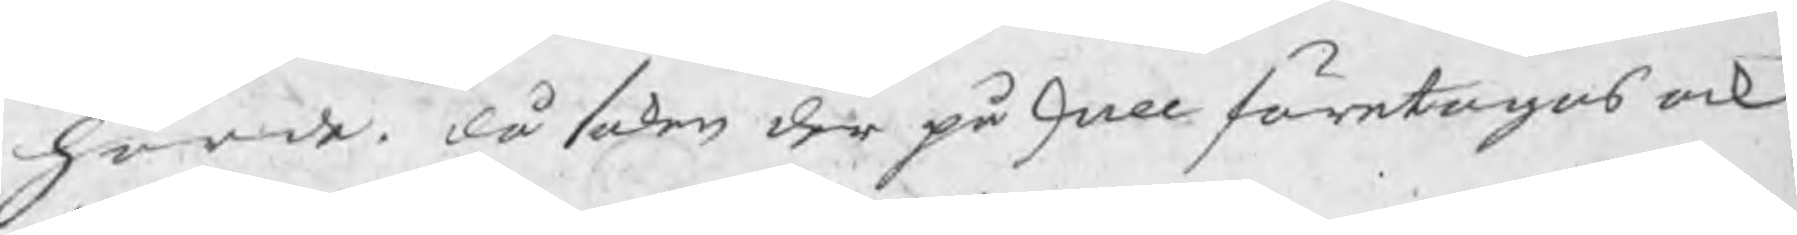hörde, då saken der på skall företagas ock
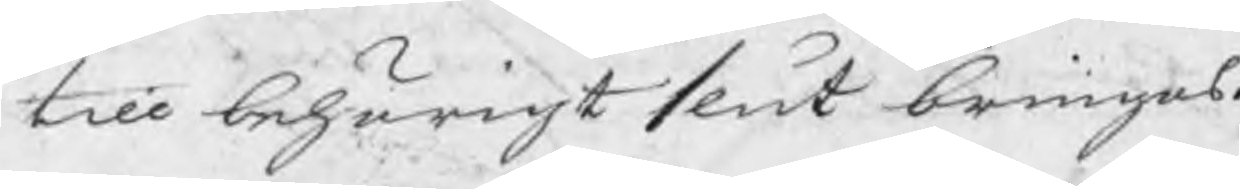till behörigt slut bringas.
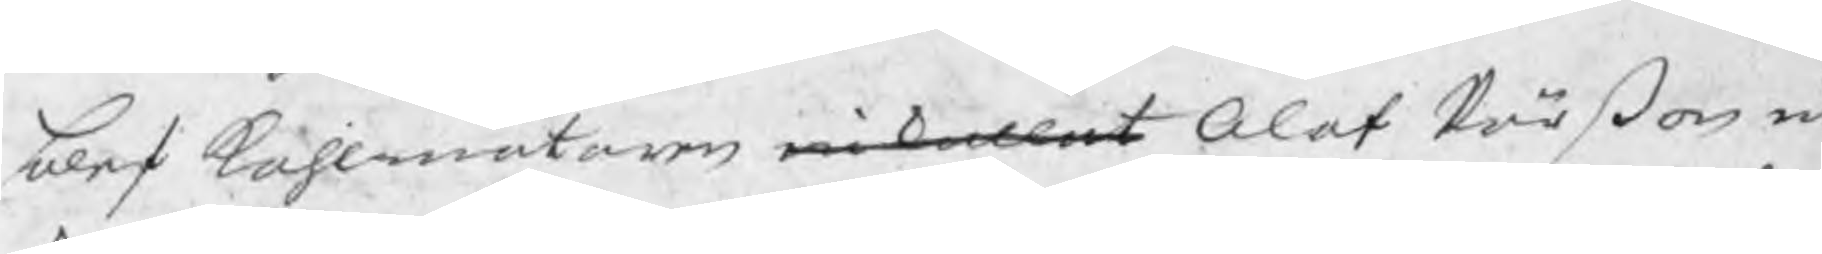blef kohlmätaren inkallat Olof Pärßon in
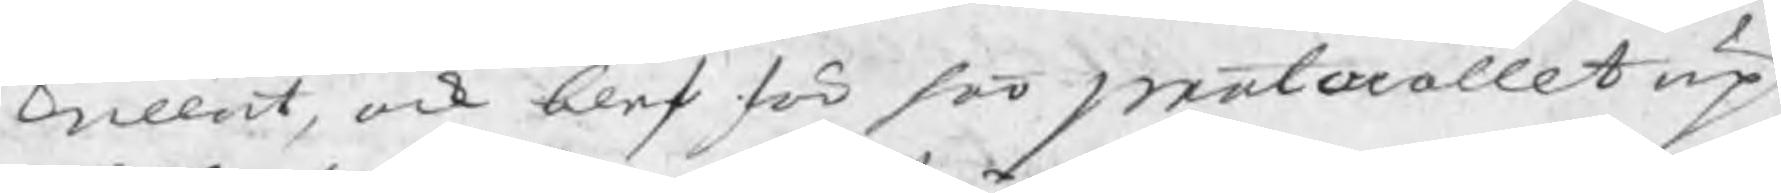kallat, ock blef för hoo protocollet up¬
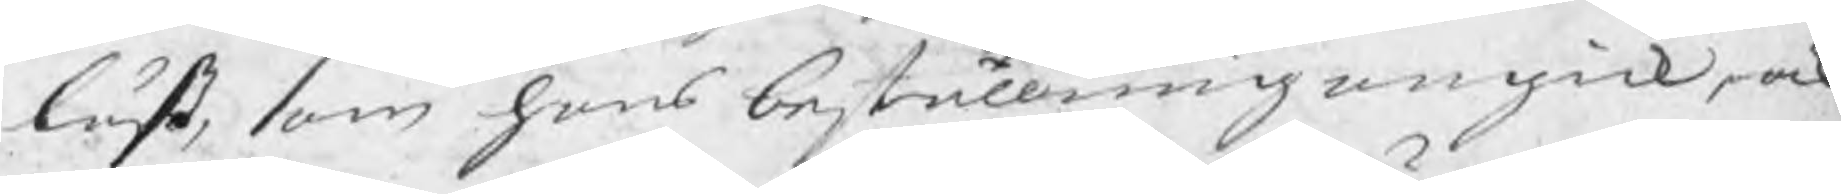läst, som hans beställning angick, ock
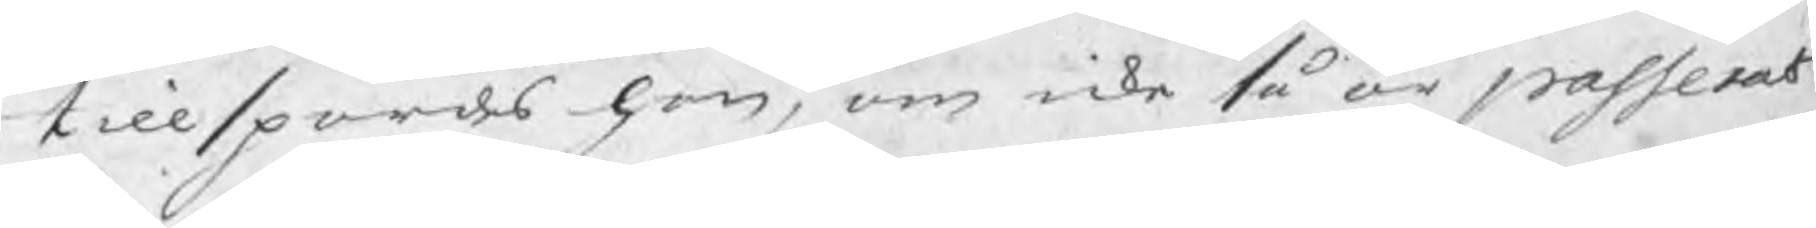tillspordes han, om icke så är passerat
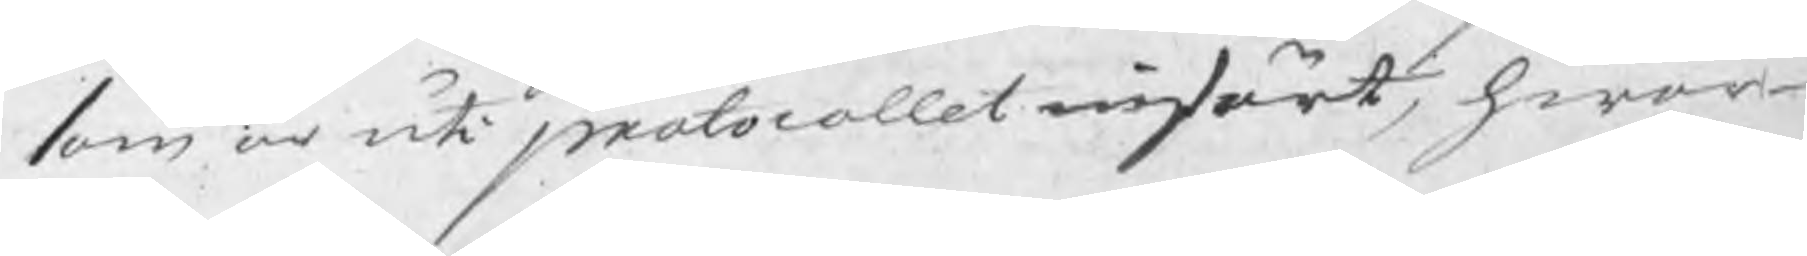som är uti protocollet infört, hwar¬
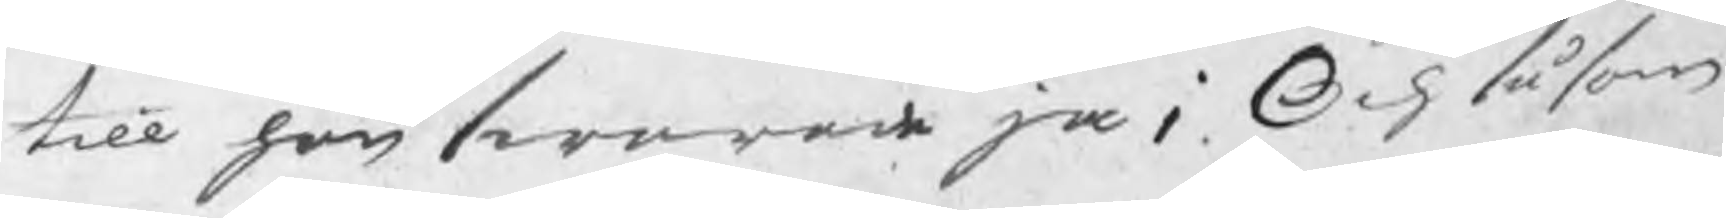till han swarade ja; Och såsom
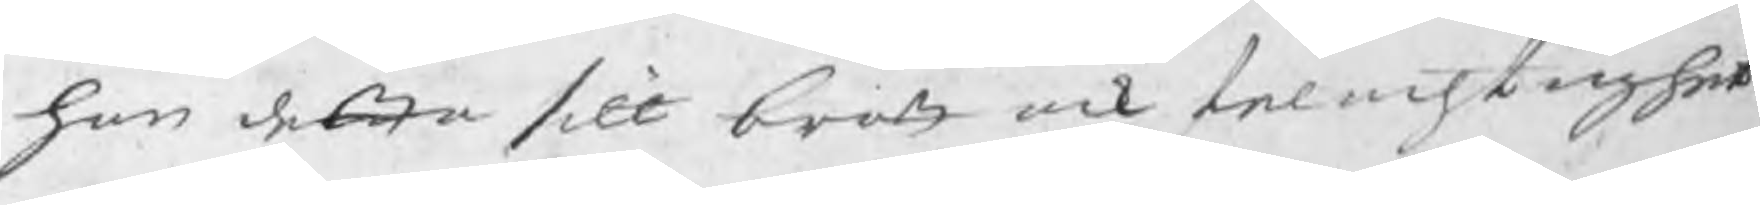han detta sitt brott ock felachtighet
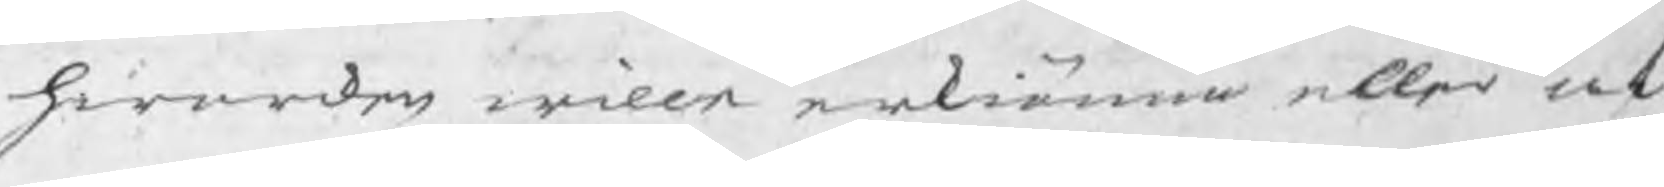hwarcken wille erkiänna eller af
